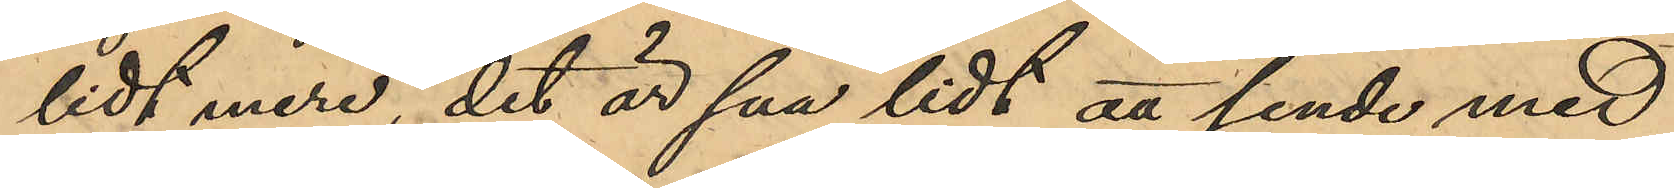lidt mere, det är saa lidt att sende med
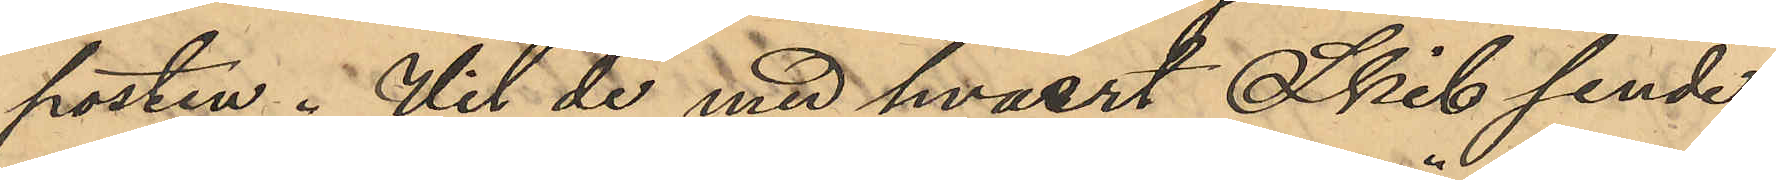posten. Vil de med hvaert Skib sende
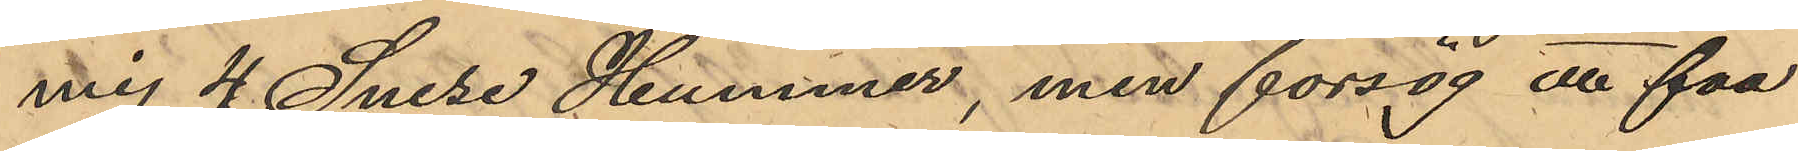mig 4 Snese Hummer, men forsög att faa
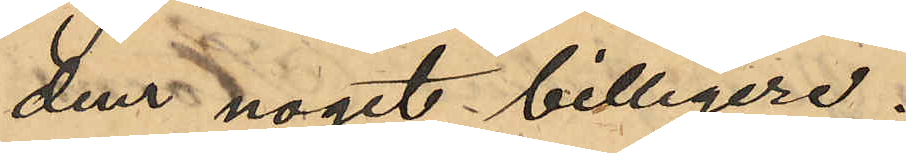dem noget billigere.
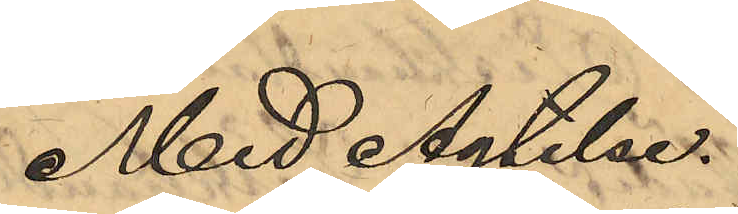Med Agtelse:
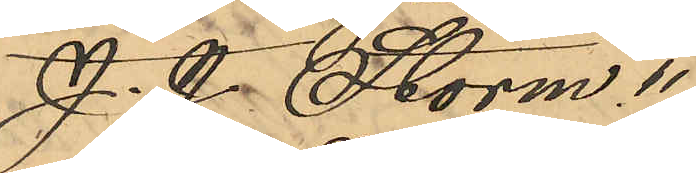J. J. Storm"
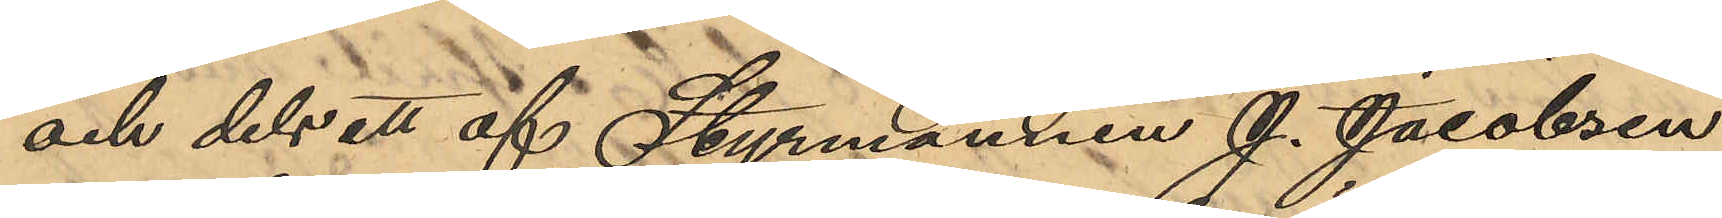och dels ett af Styrmannen J. Jacobsen
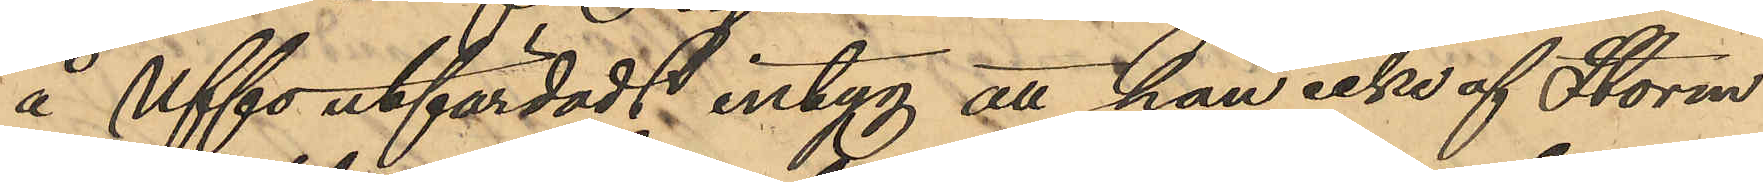å Uffo utfärdadt intyg att han icke af Storm
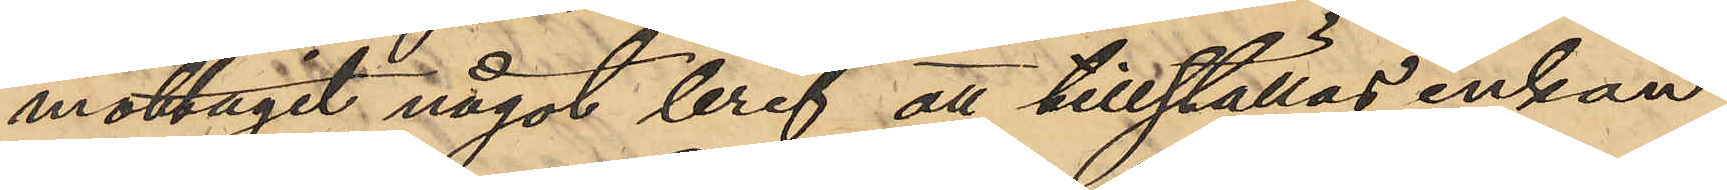mottagit något bref att tillställas enkan
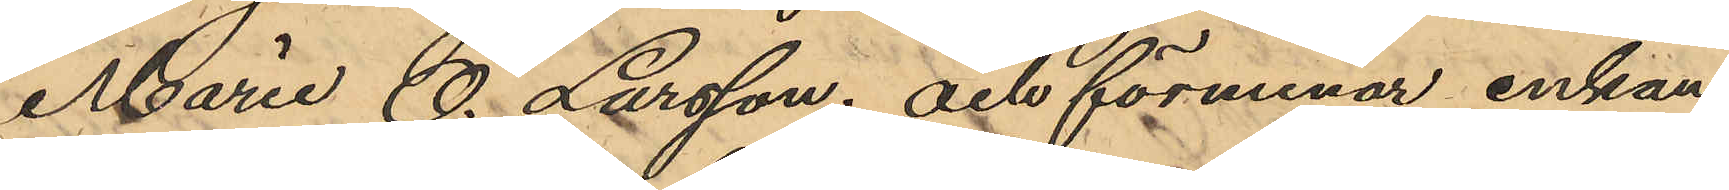Maria O. Larsson; och förmenar enkan
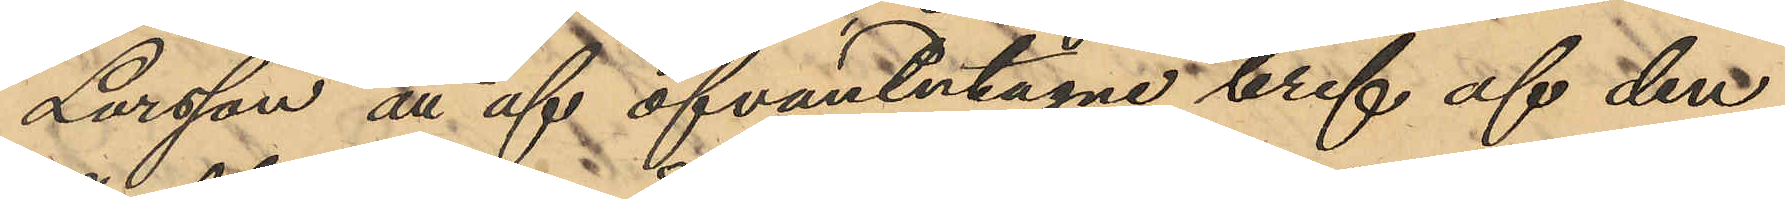Larsson att af ofvantutagne bref af den
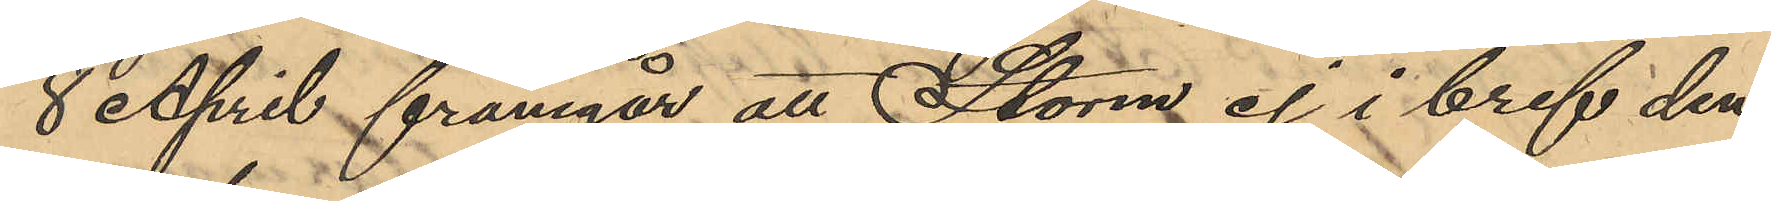8 April framgår att Storm ej i bref den
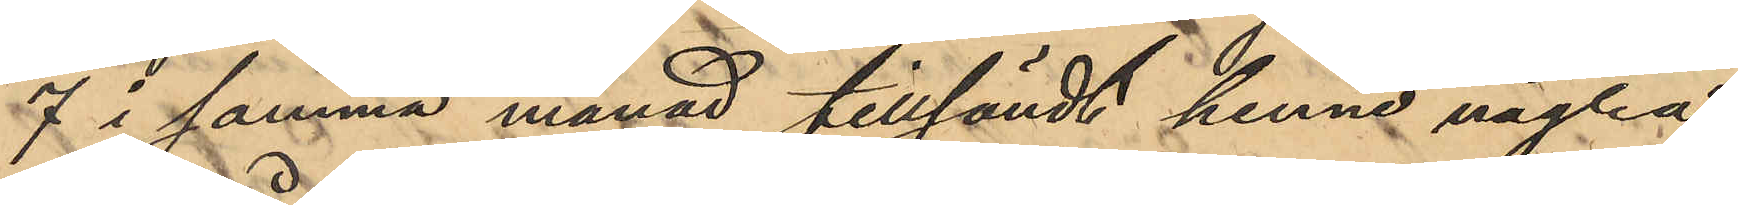7 i samma månad tillsändt henne några
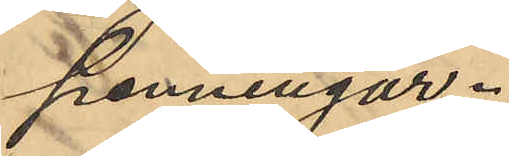penningar.
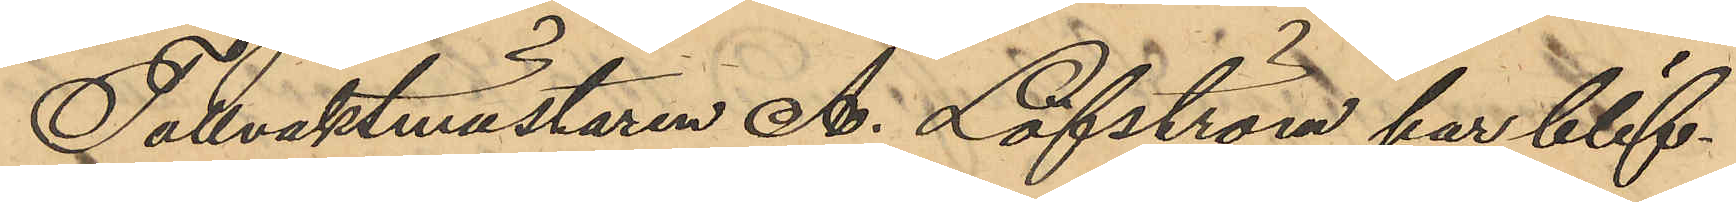Tullvaktmästaren A. Löfström har blif¬
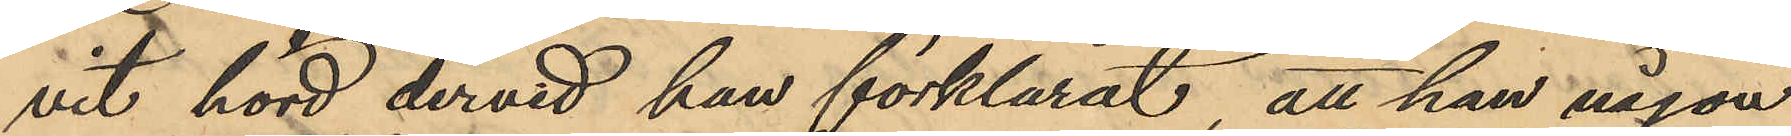vit hörd dervid han förklarat, att han någon
